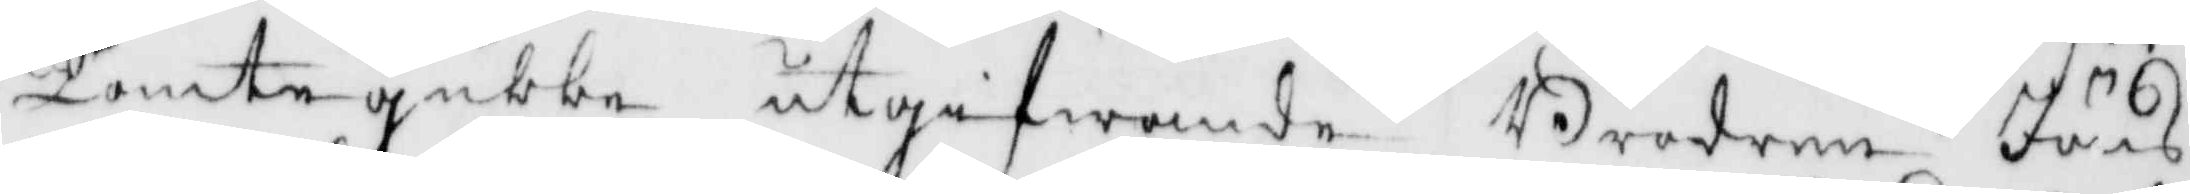Tomtegubbe utgifwande Brodern Jöns
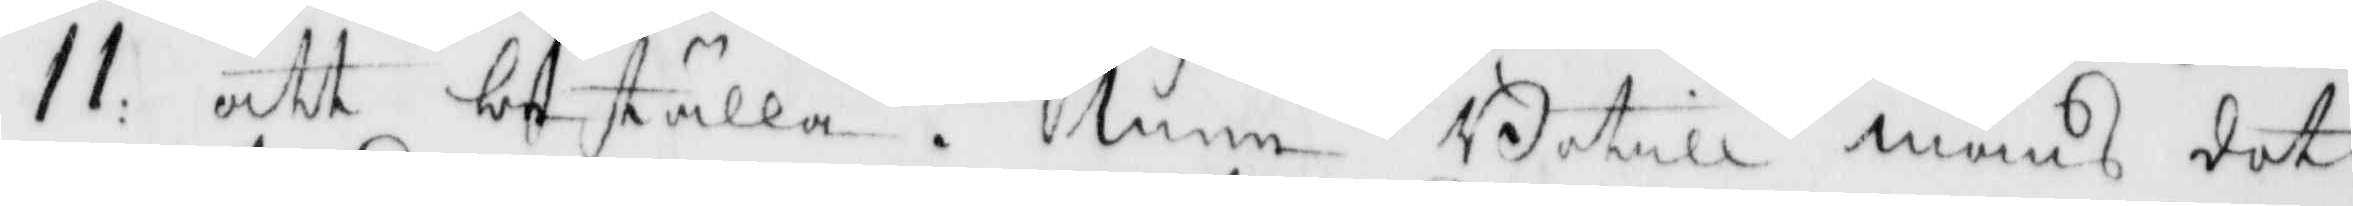11: att beställa. men Botill måns dot¬
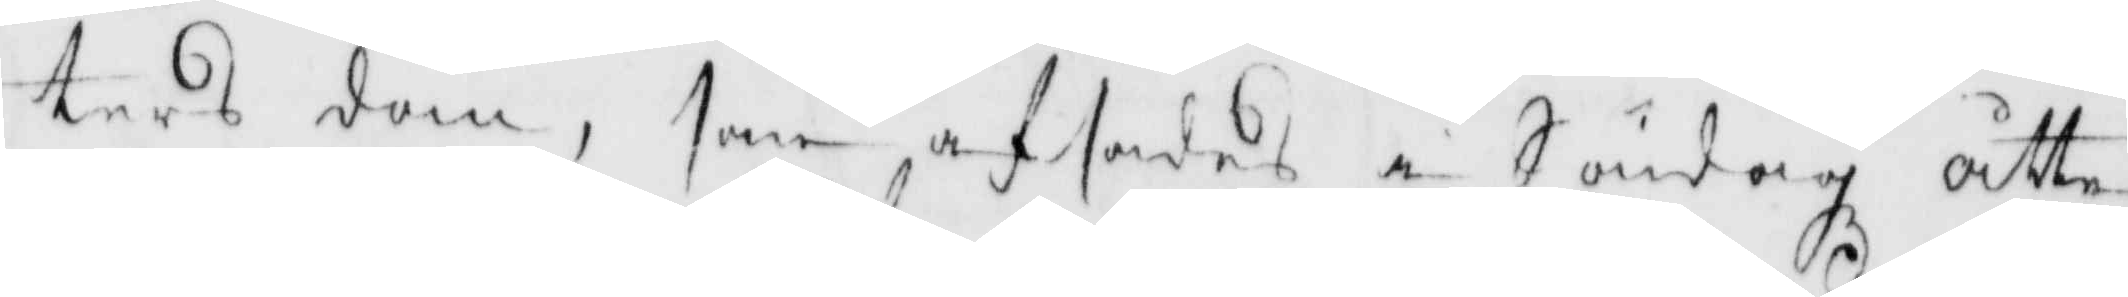ters dom, som afsades i Söndagz åtta
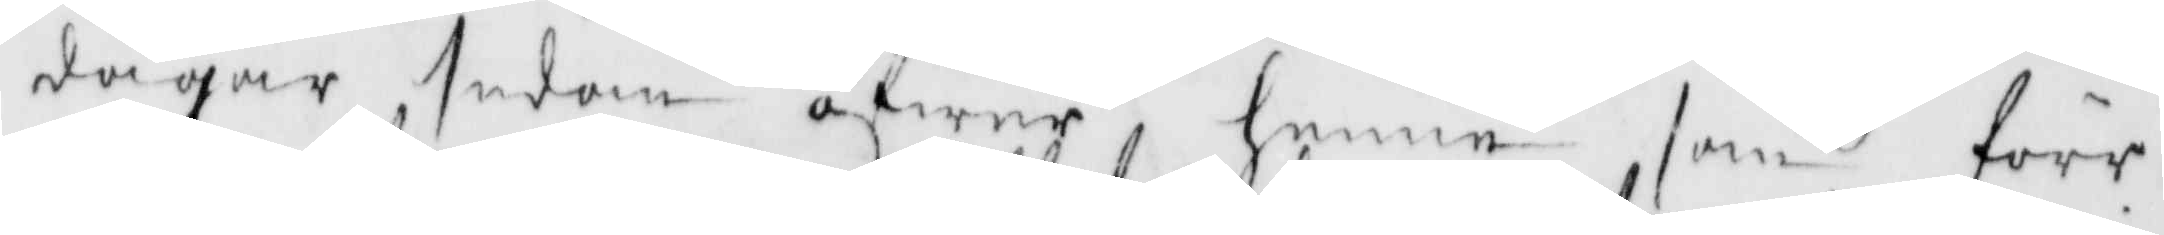dagar sedan öfwer henne som förr
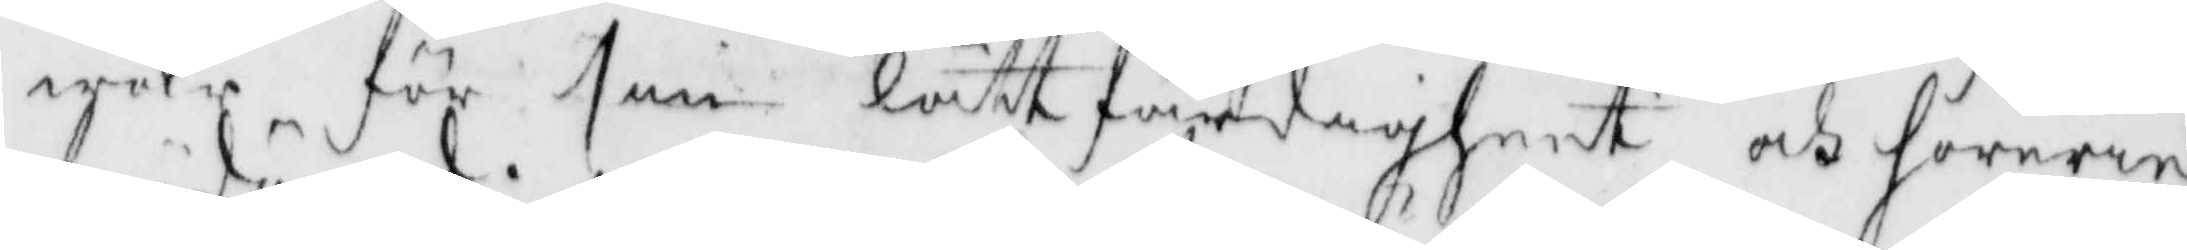war för sin lättfärdigheer och horerie 
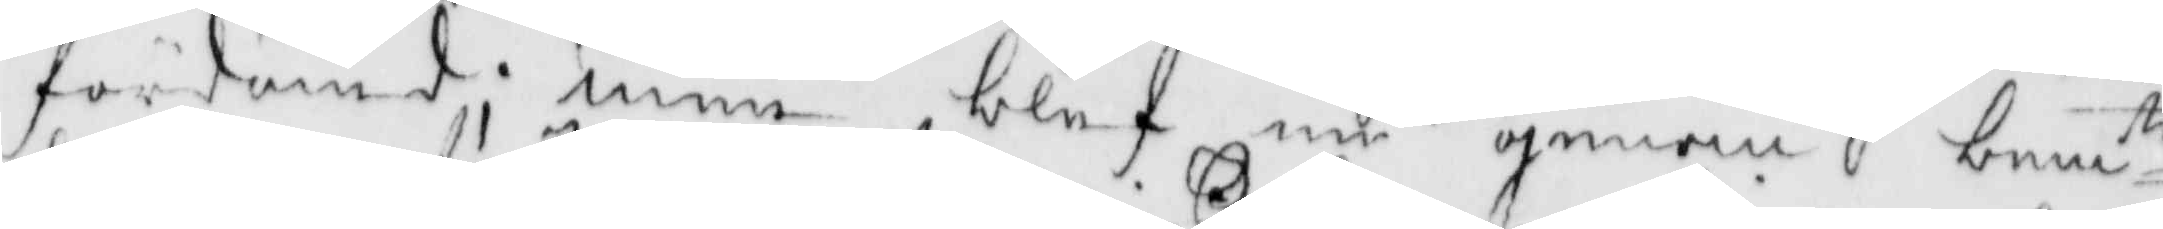fördömd; men blef nu genom bemte
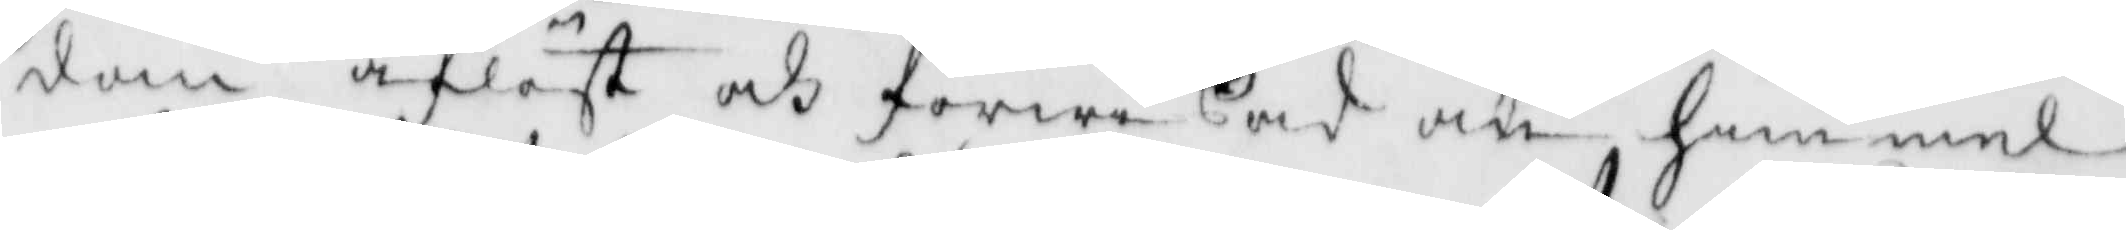dom aflöst och förwißad om himmel¬
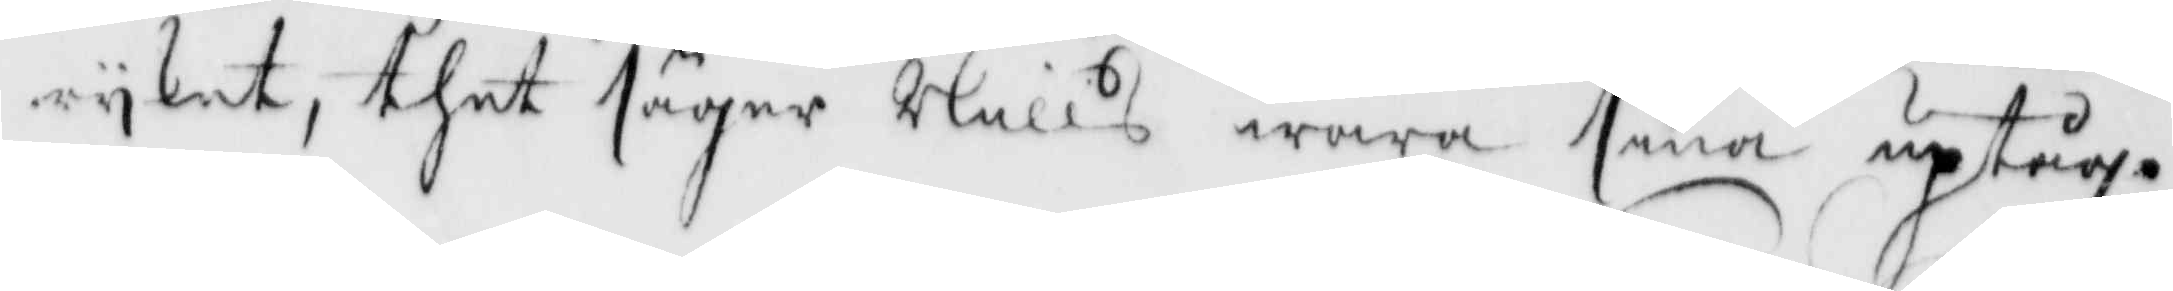ryket, thet säger Nills wara sina uptåg.
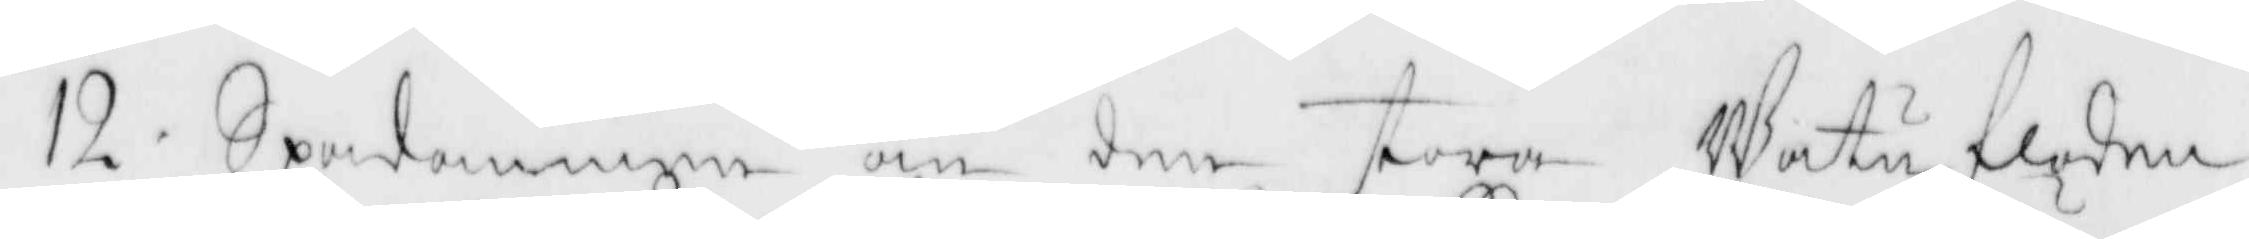12. Spådomen om den stora Watufloden
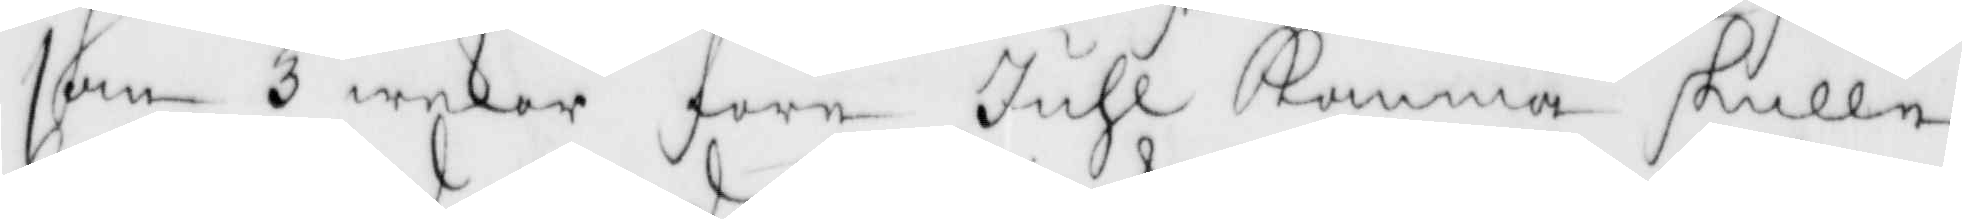som 3 wekor före Juhl Komma skulle,
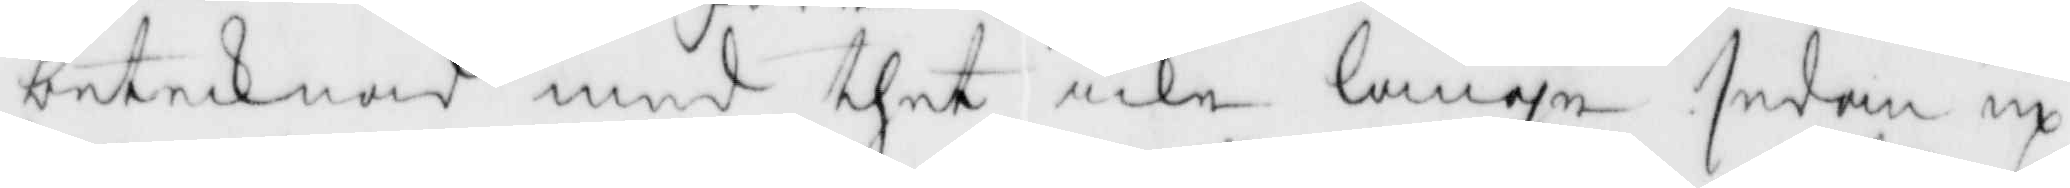betecknas med thet icke länge sedan up¬
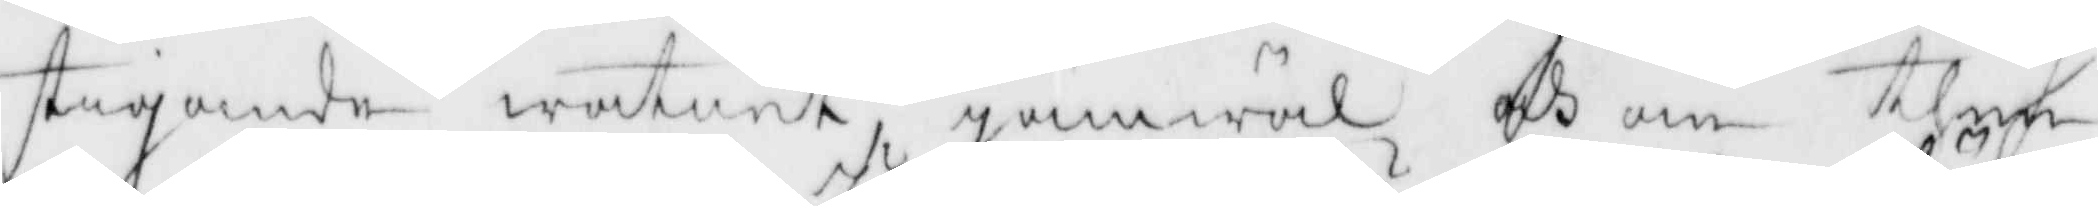stigande watnet, jämwäl och om then
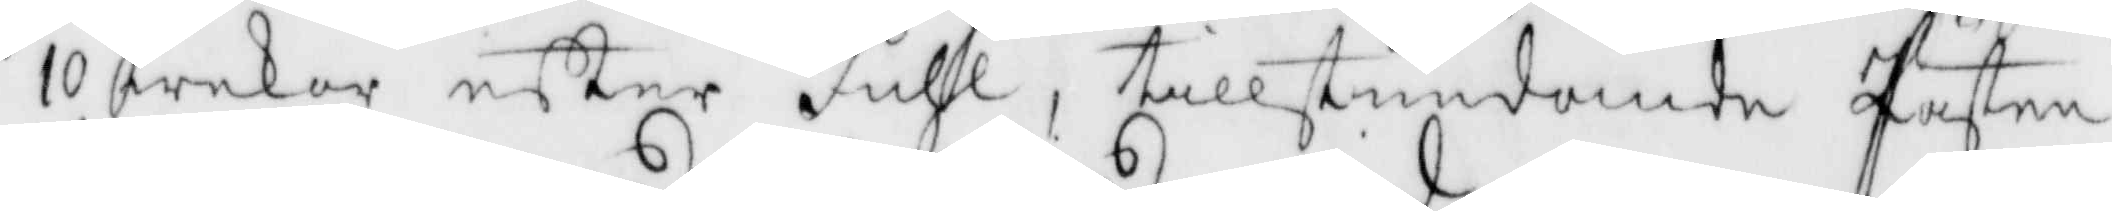10 wekor efter Juhl, tillstundande Pästen
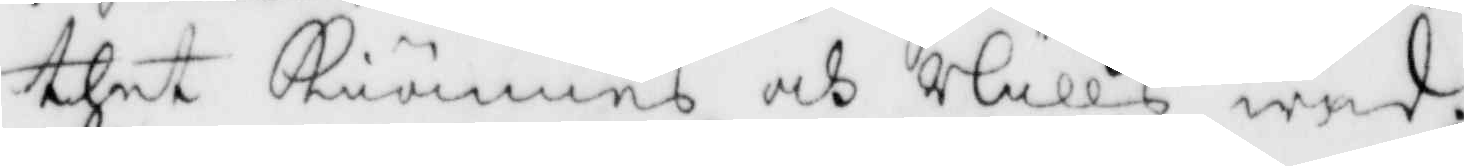thet Kiännes och Nills wid.
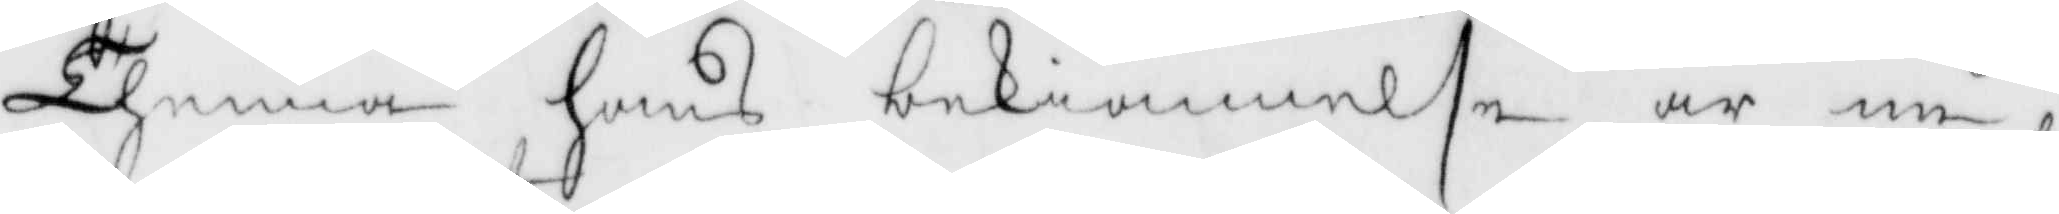Thenna hans bekiännelse är nu
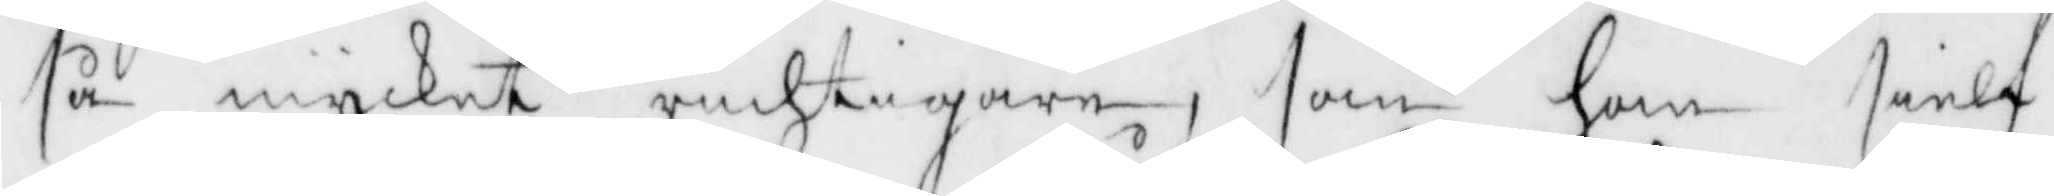så mycket richtigare, som han sielf
